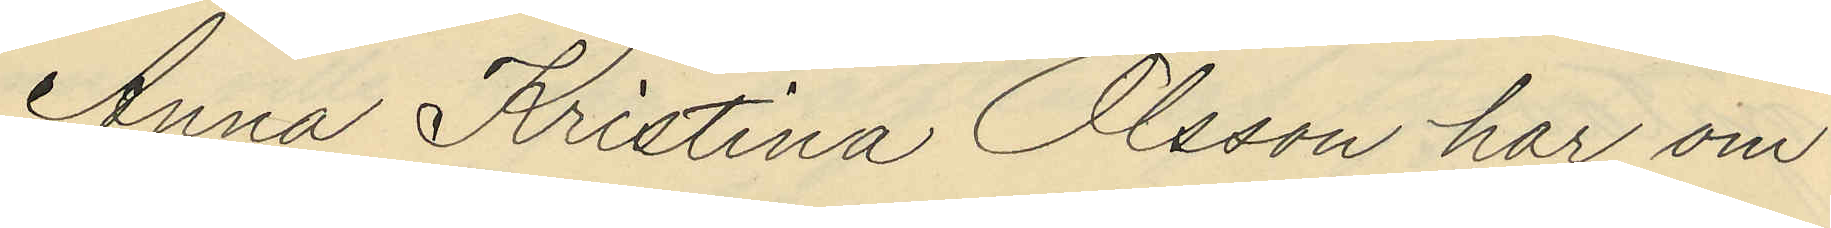Anna Kristina Olsson har om
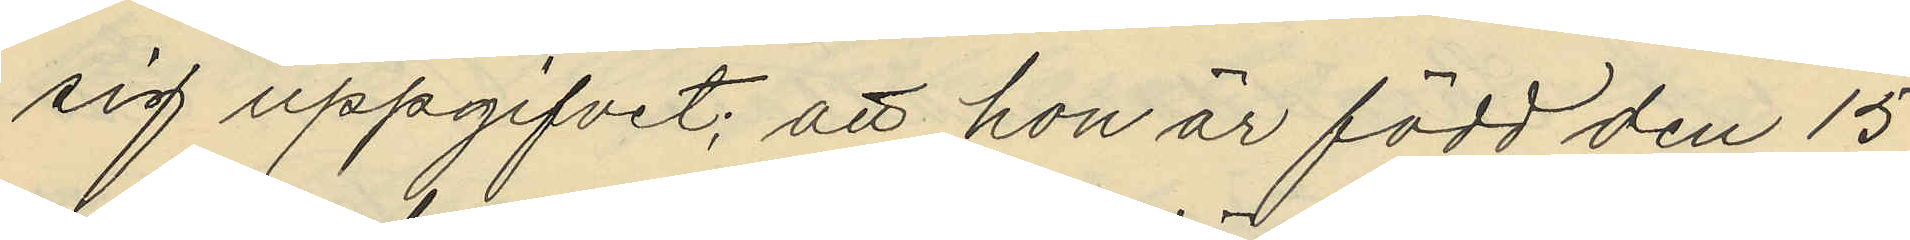sig uppgifvit, att hon är född den 15
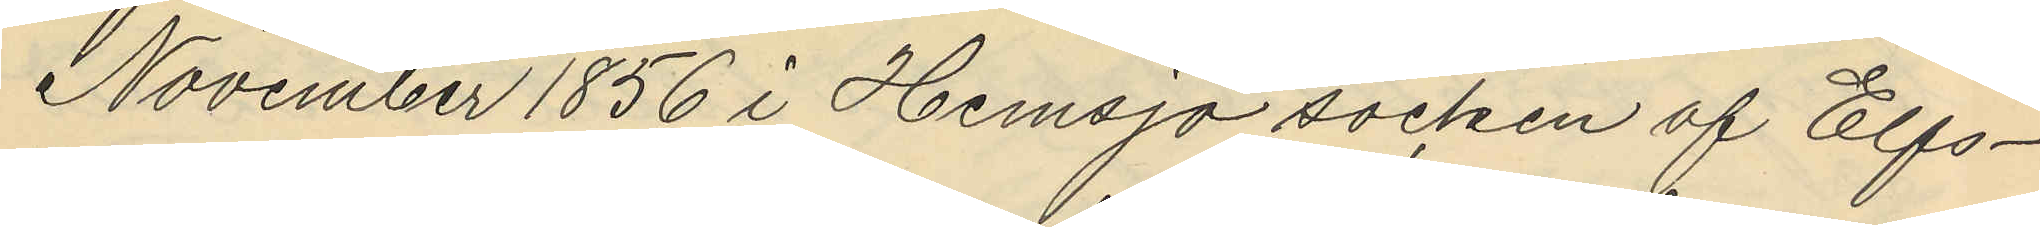November 1856 i Hemsjö socken af Elfs¬
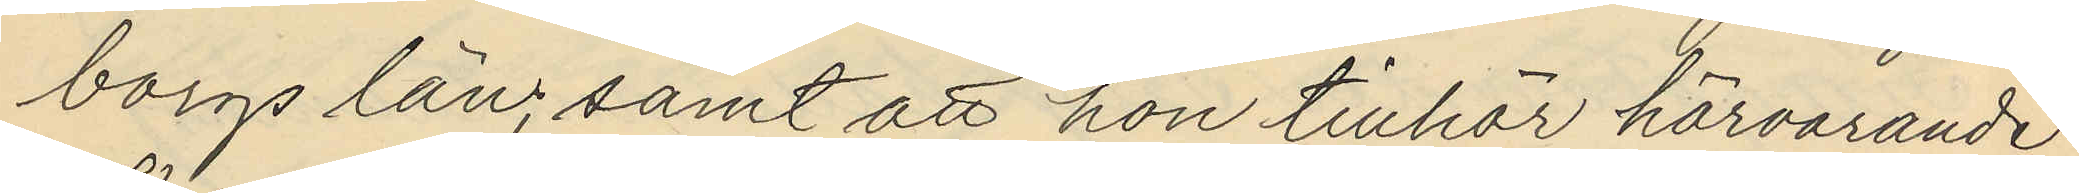borgs län; samt att hon tillhör härvarande
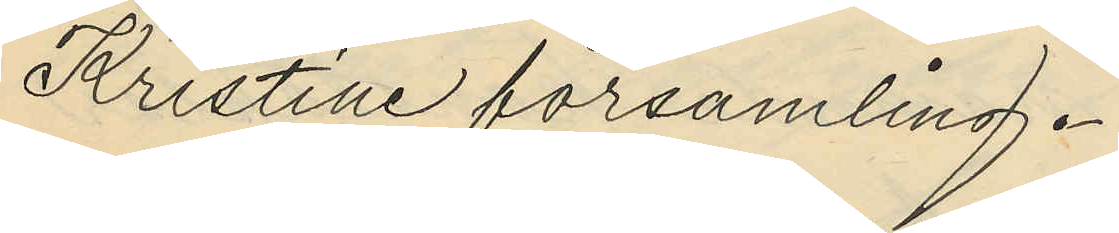Kristine församling.
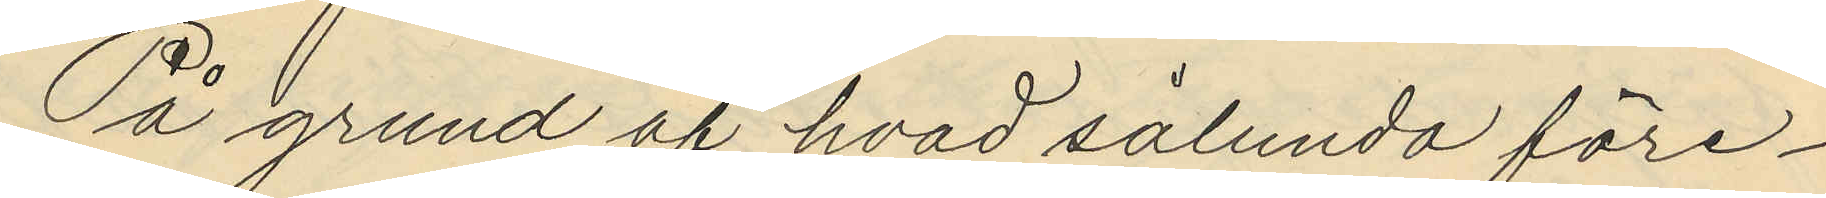På grund af hvad sålunda före¬
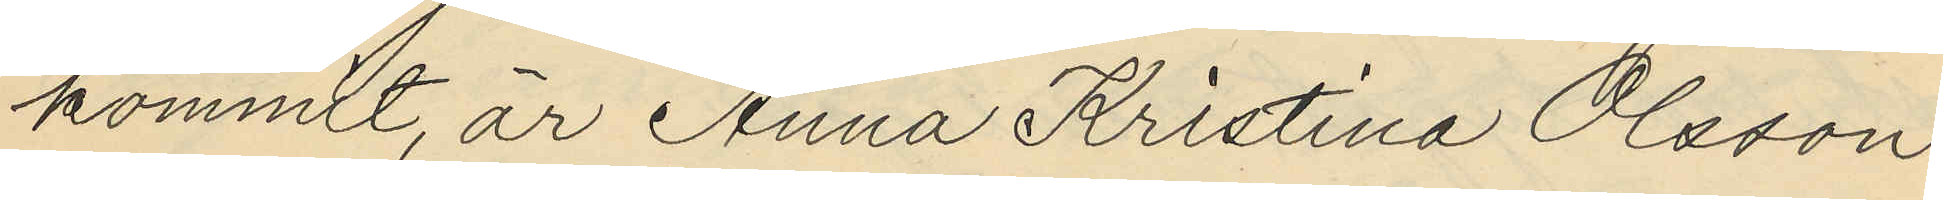kommit, är Anna Kristina Olsson
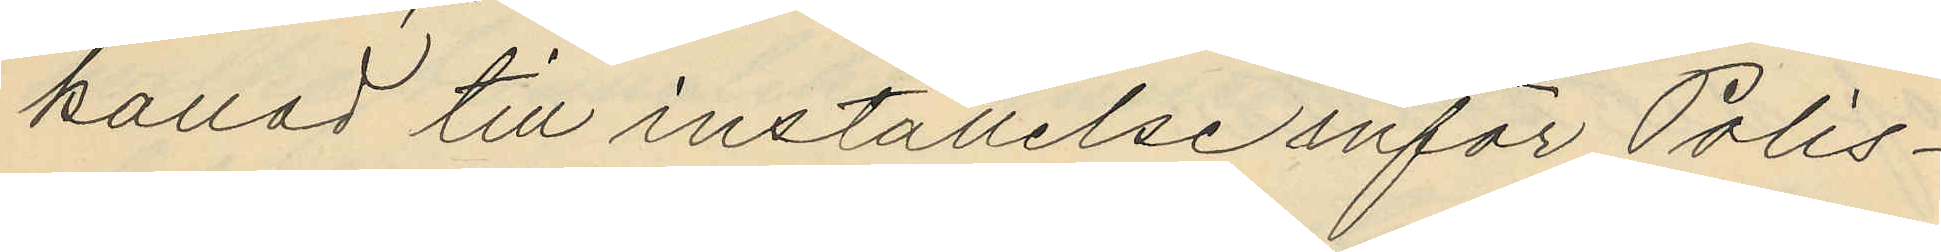kallad till inställelse inför Polis¬
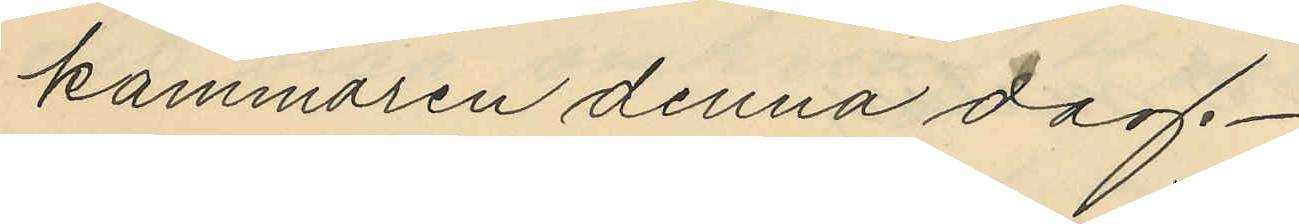kammaren denna dag.
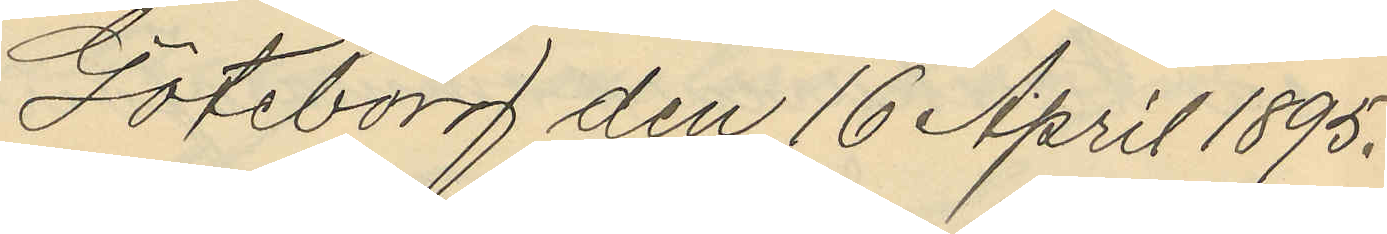Göteborg den 16 April 1895.
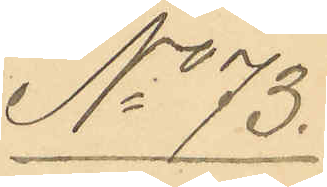No 73.
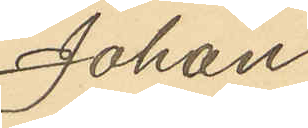Johan
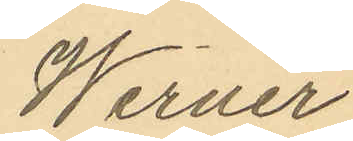Werner
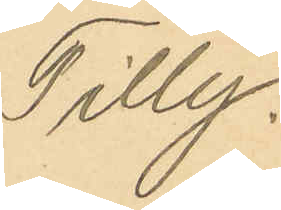Tilly.
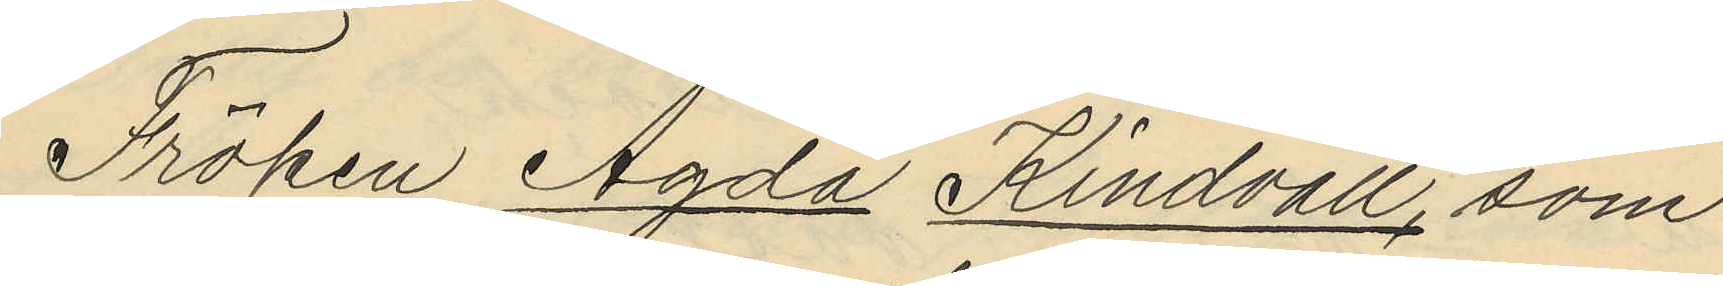Fröken Agda Lindvall, som
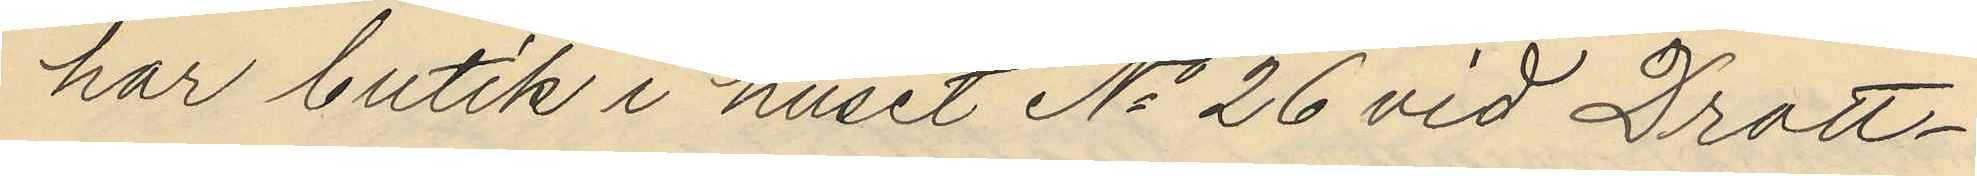har butik i huset No 26 vid Drott¬
